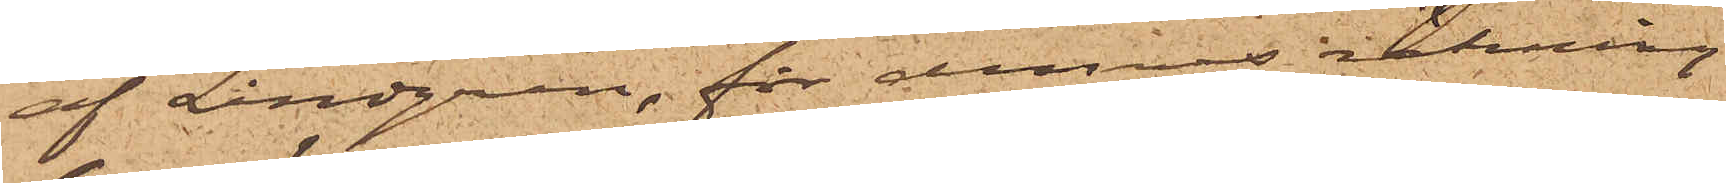af Lindgren, för dennes räkning
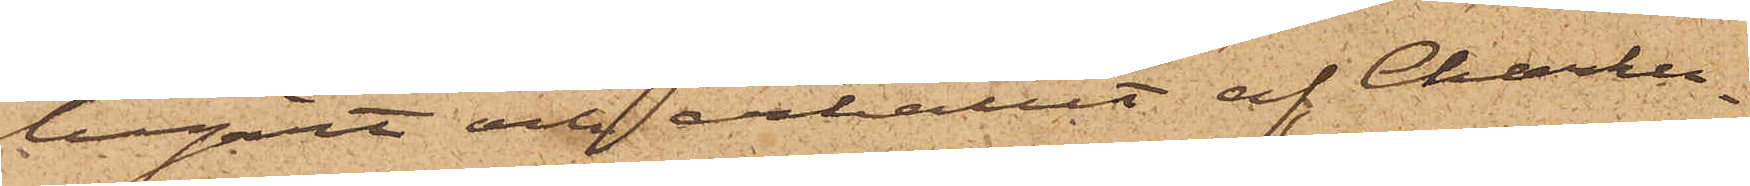begärt och erhållit af Charku¬
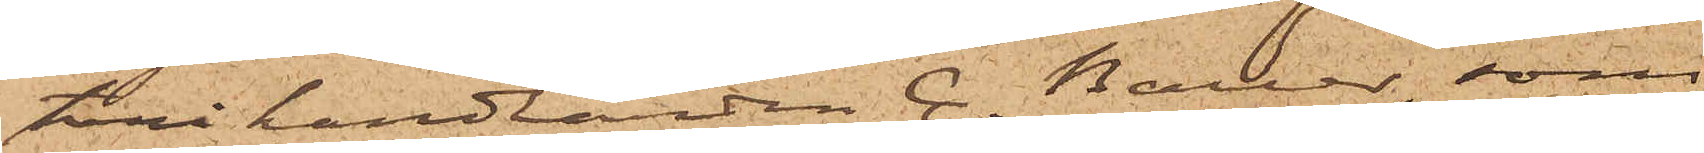terihandlanden C. Bauer, som
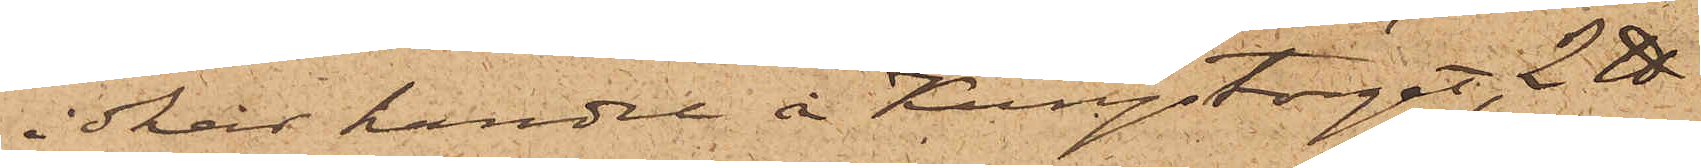idkar handel å Kungstorget, 2 ℔
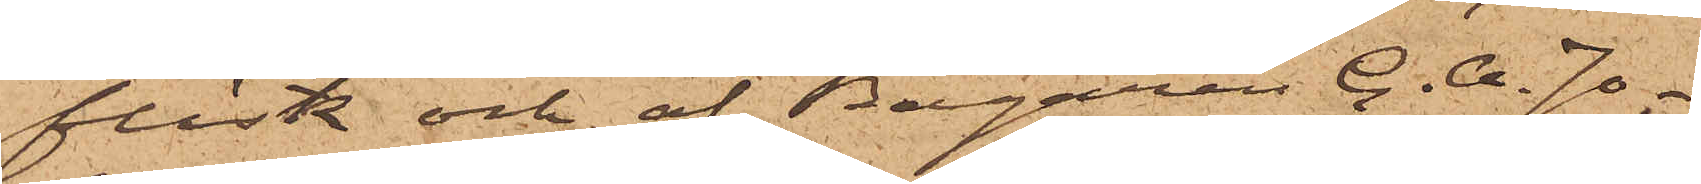fläsk och af Bagaren C. A. Jo¬
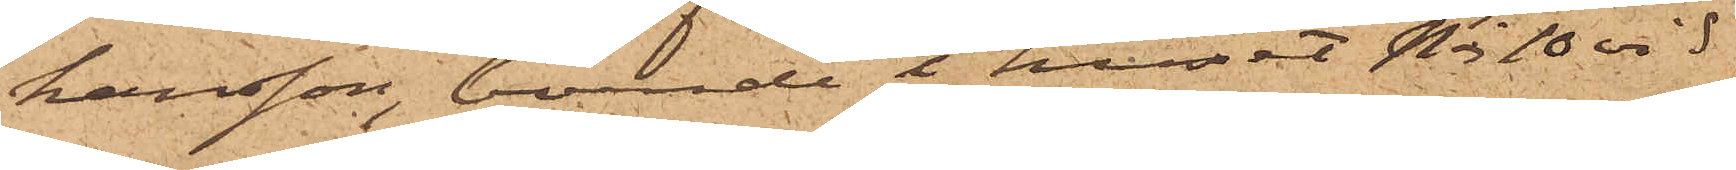hansson, boende i huset No 10 vid
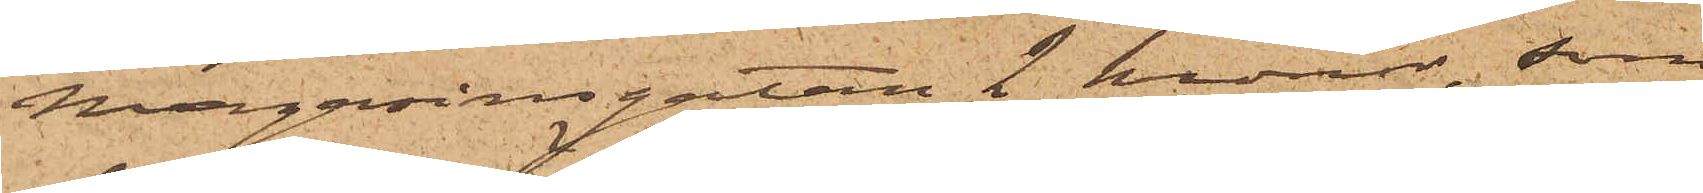Magasinsgatan 2 kronor, som
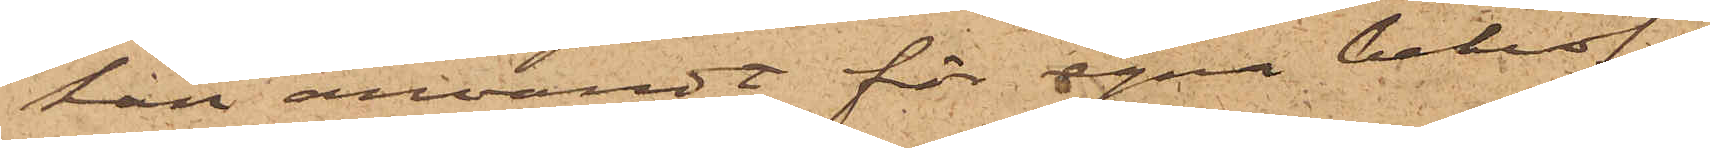han användt för egna behof;
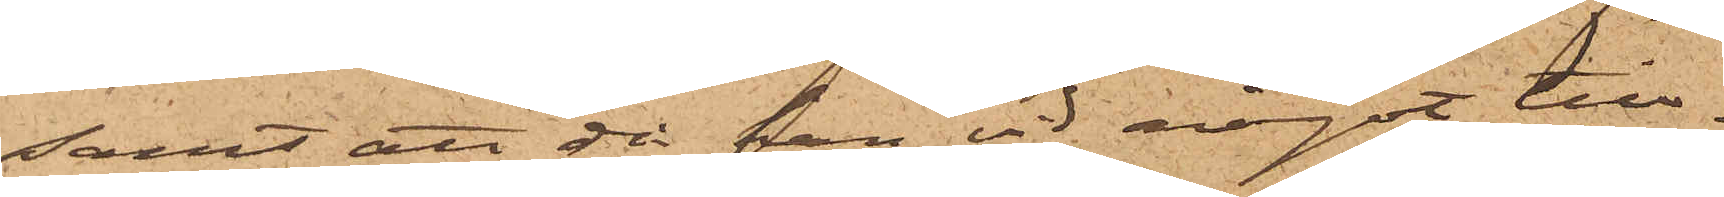samt att då han vid något till¬
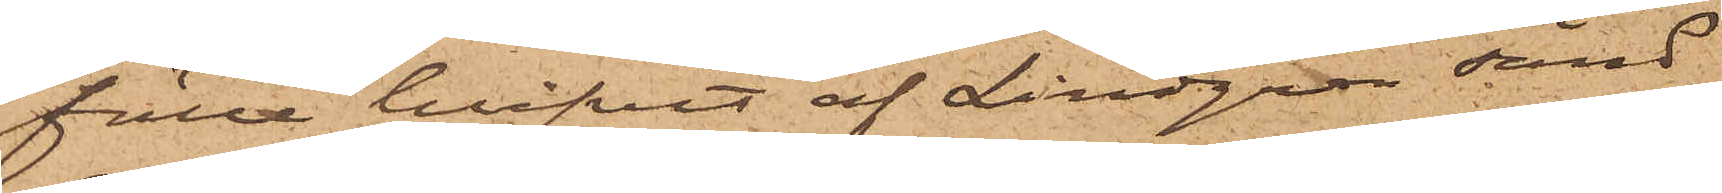fälle blifvit af Lindgren sänd
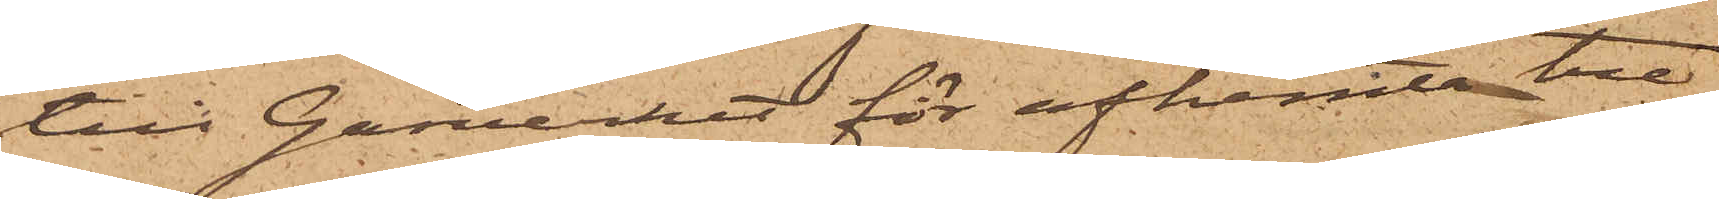till Gasverket för afhemta tre
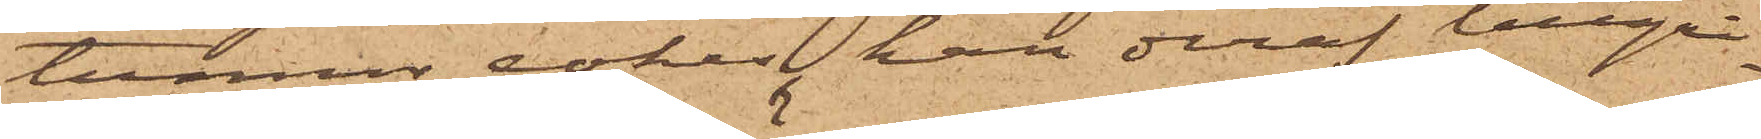tunner cokes, han deraf tillgri¬
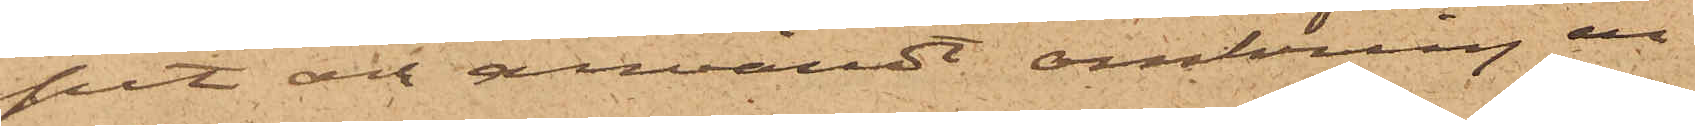pit och användt omkring en
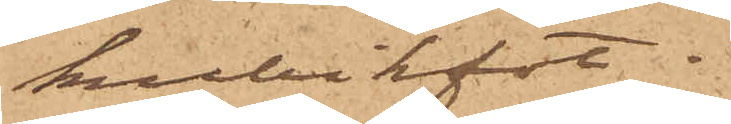kubikfot.
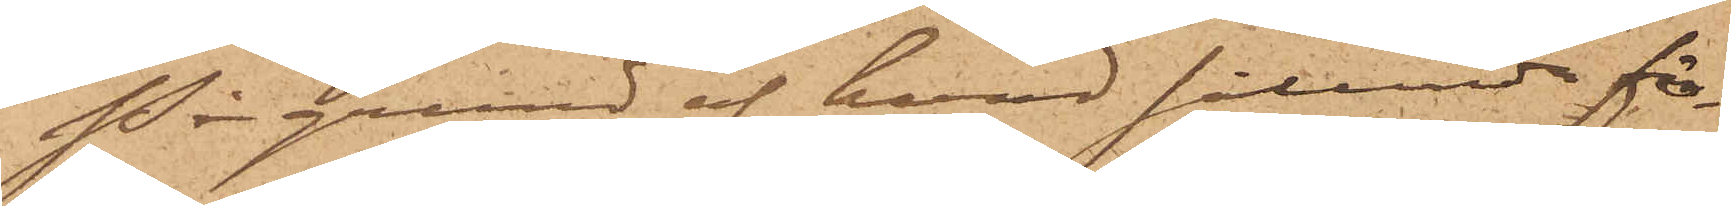På grund af hvad sålunda för¬
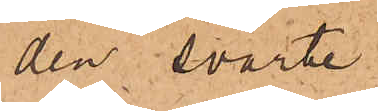den svarte
